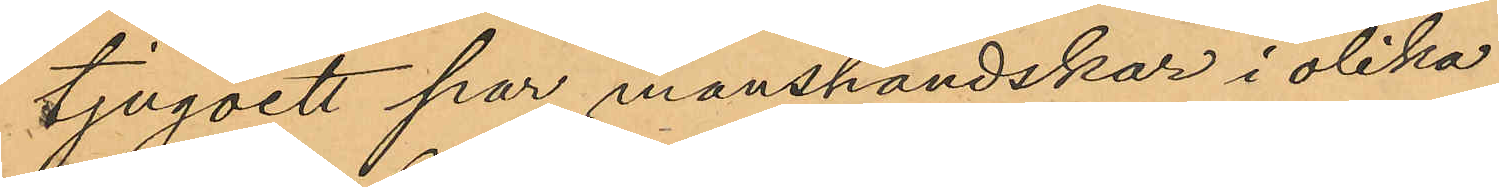tjugoett par manshandskar i olika
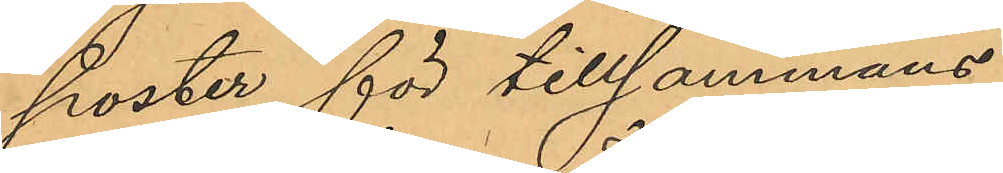poster för tillsammans
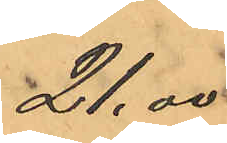21,00
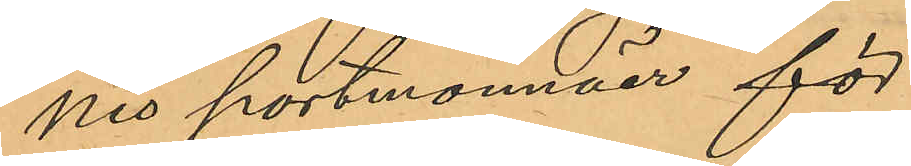nio portmonnäer för
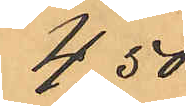4,50
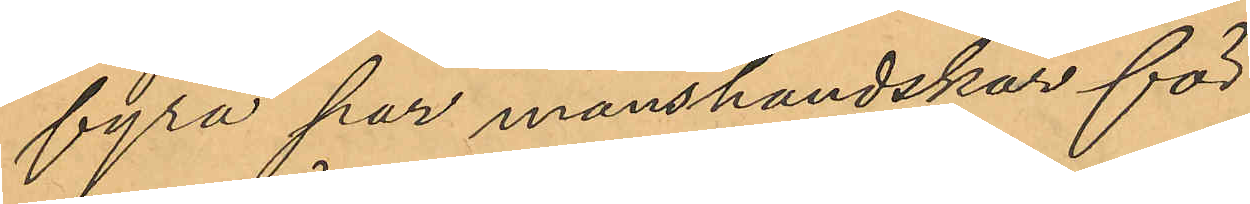fyra par manshandskar för
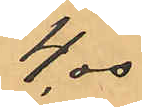4,00
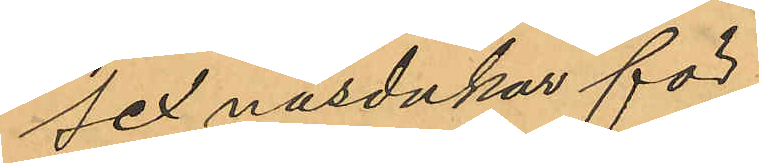sex näsdukar för
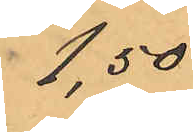1,50
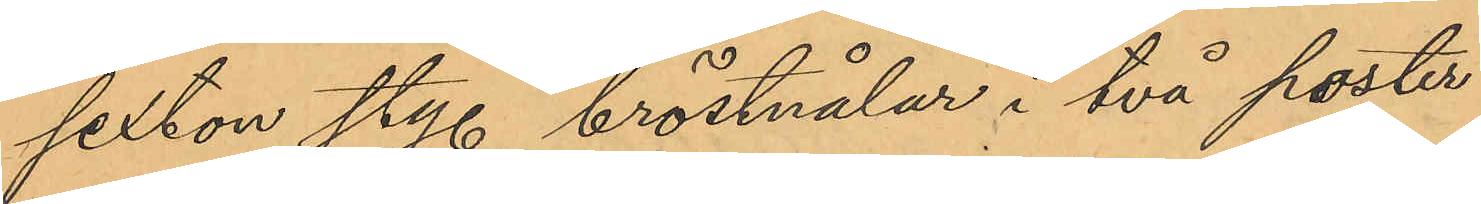sexton sty. bröstnålar i två poster
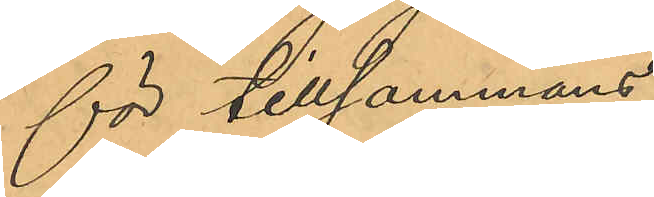för tillsammans
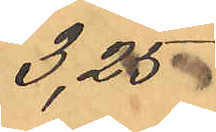3,25
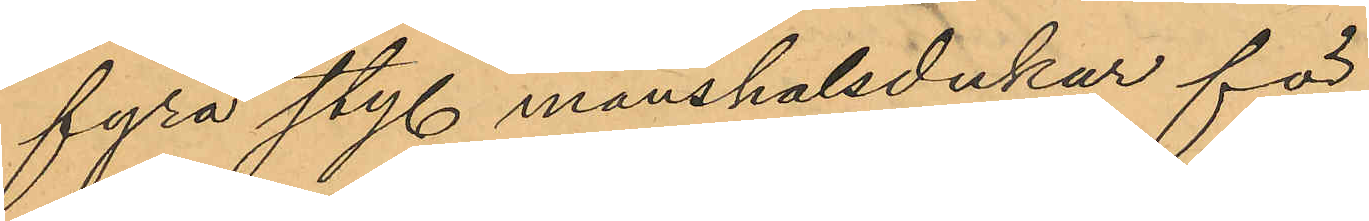fyra sty. manshalsdukar för
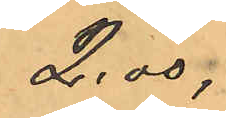2,00,
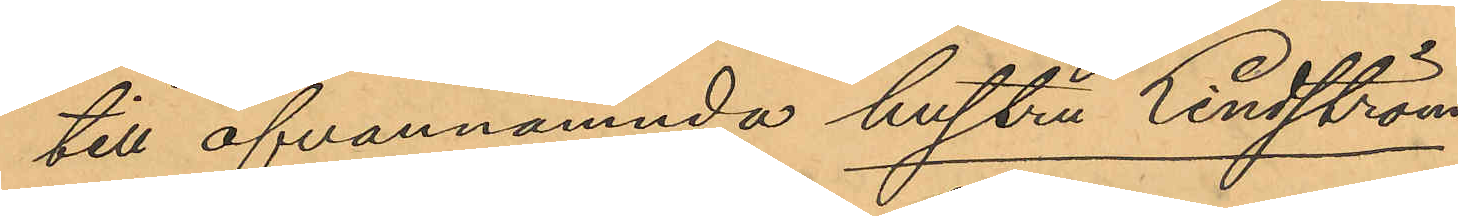till ofvannämnda hustru Lindström
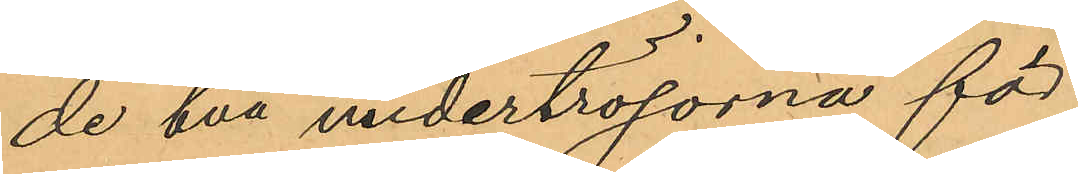de två undertröjorna för
